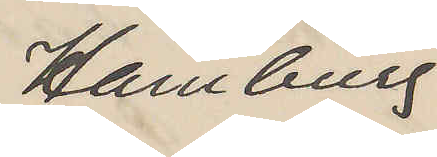Hamburg
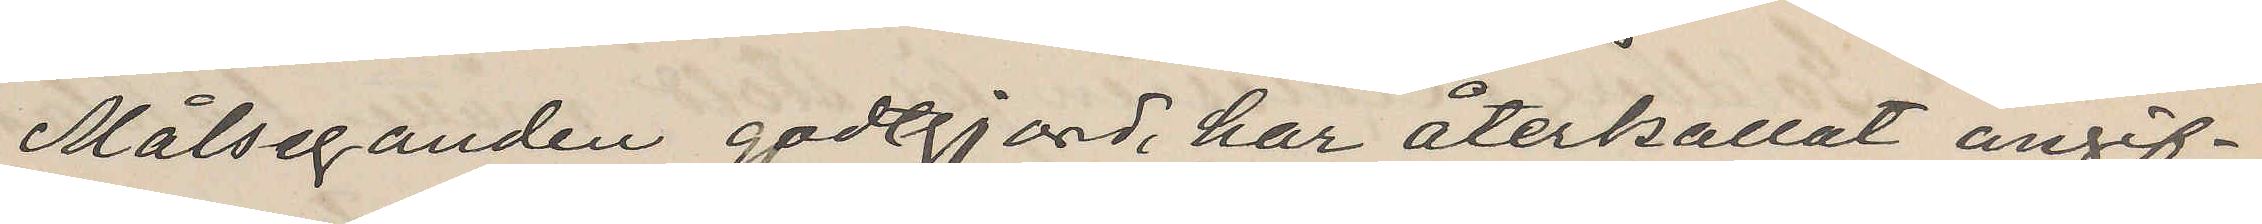Målseganden godtgjord, har återkallat angif¬
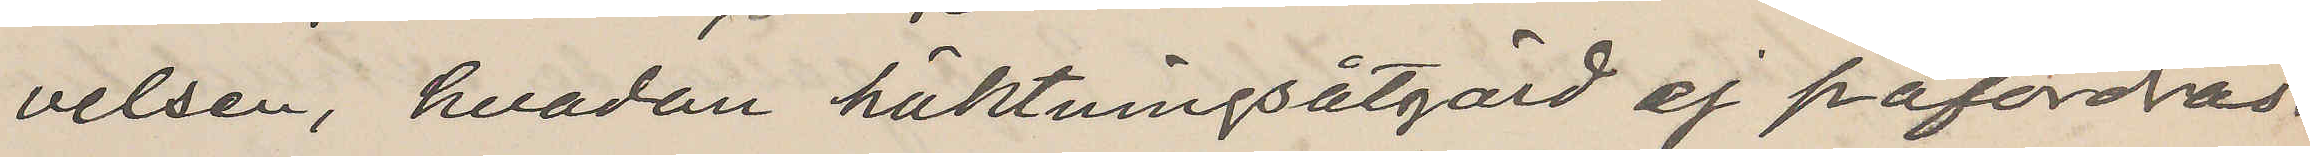velsen, hvadan häktningsåtgärd ej påfordras.
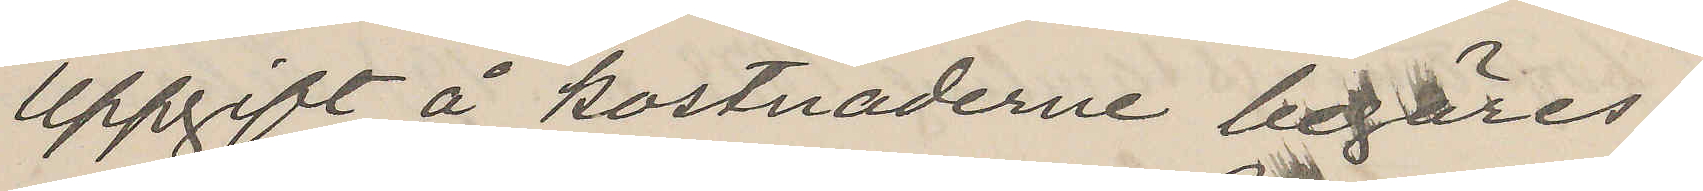Uppgift å kostnaderne begäres.
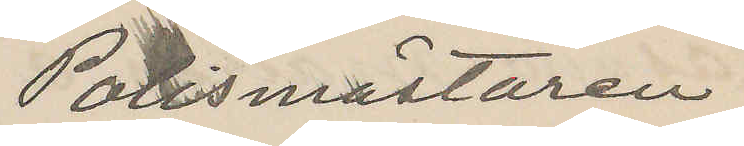Polismästaren
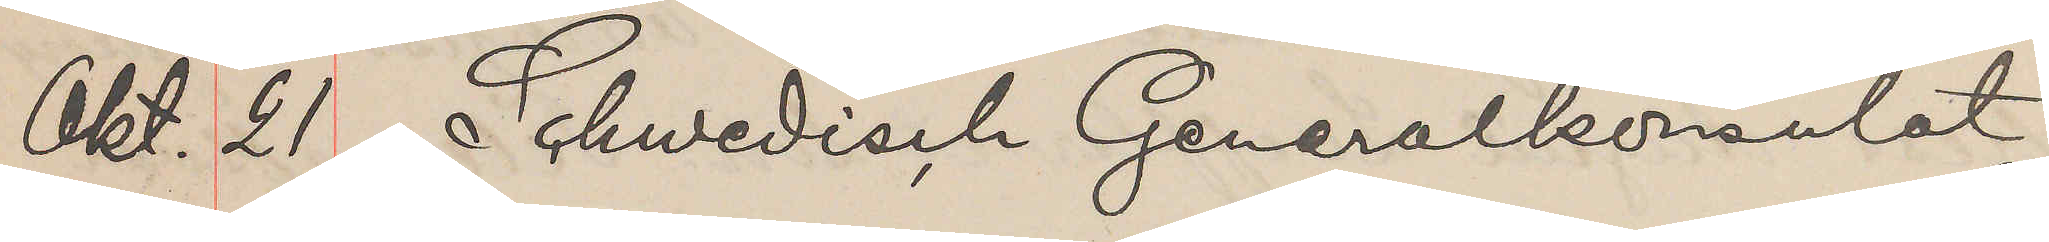Okt. 21 Schwedisch Generalkonsulat
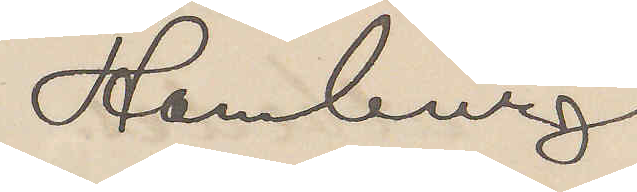Hamburg
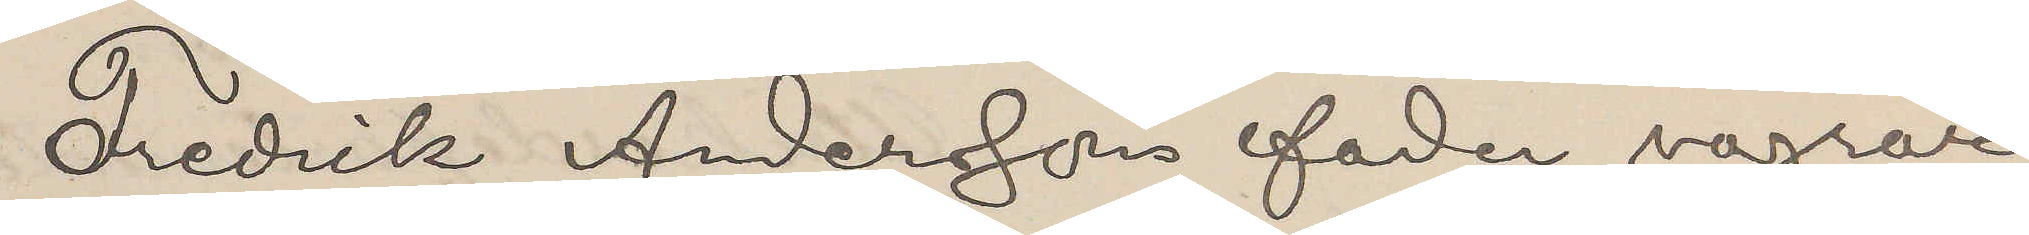Fredrik Anderssons fader vägrar
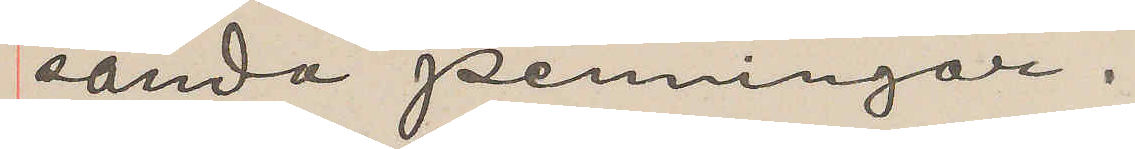sända penningar.
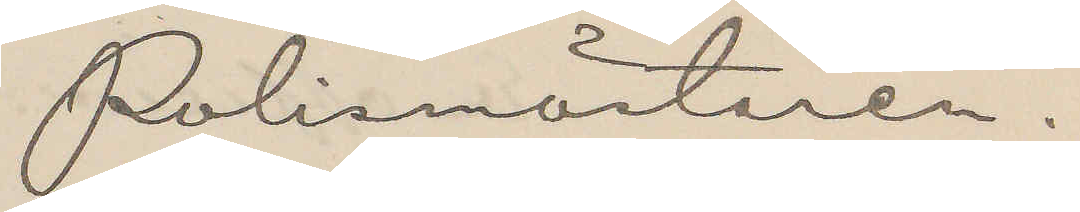Polismästaren.
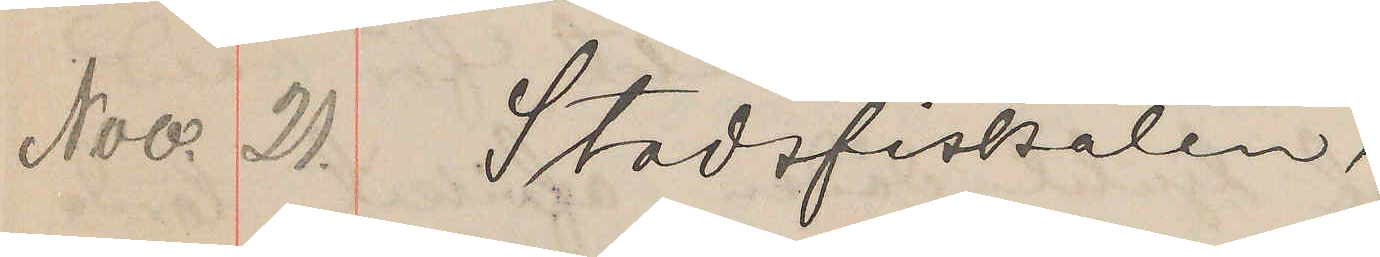Nov. 20. Stadsfiskalen,
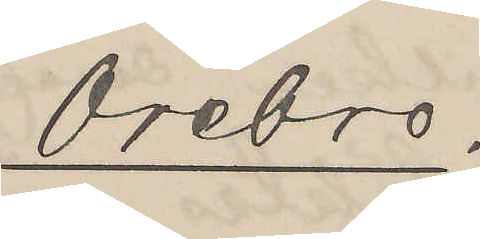Örebro.
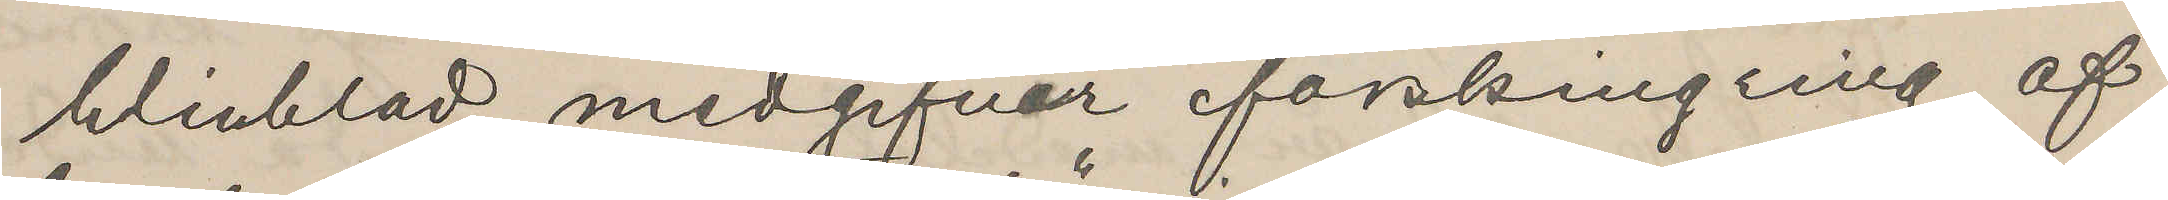Winblad medgifver förskingring af
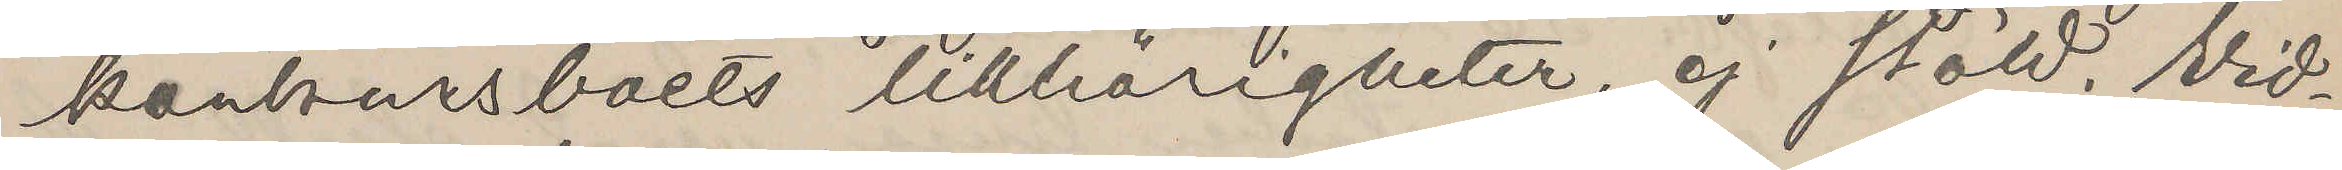konkursboets tillhörigheter, ej stöld. Vid¬
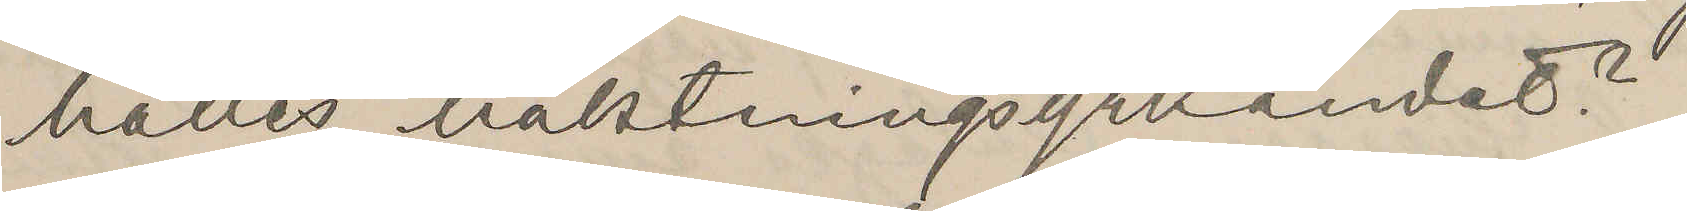hålles häktningsyrkandet?
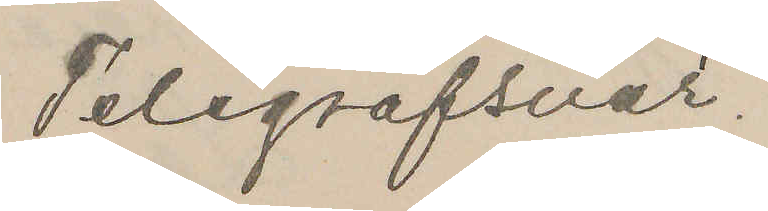Telegrafsvar.
